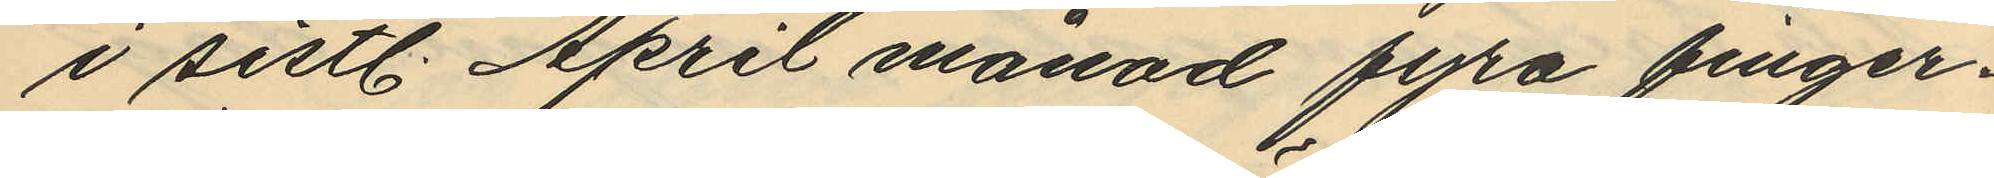i sistl. April månad fyra finger¬
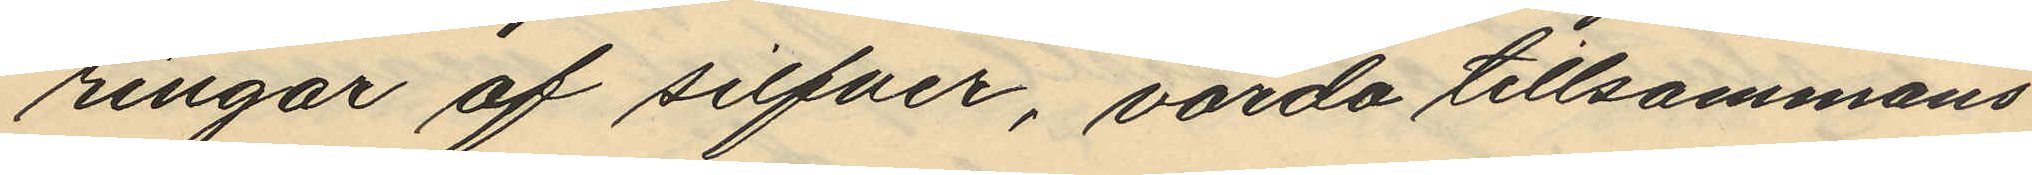ringar af silfver, värda tillsammans
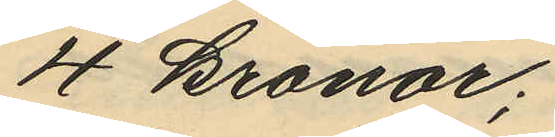4 kronor;
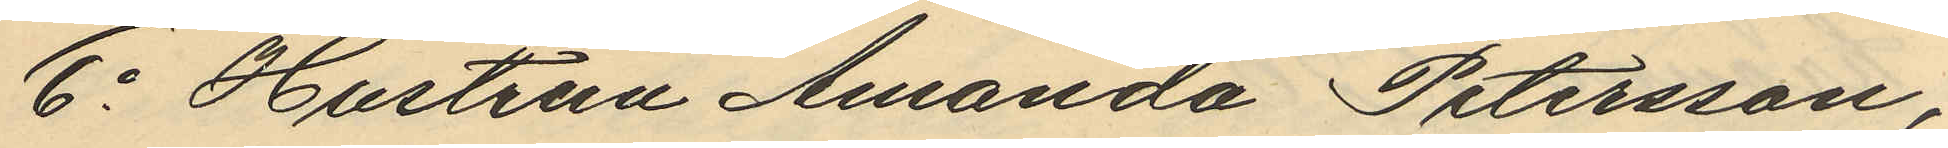6o Hustrun Amanda Petersson,
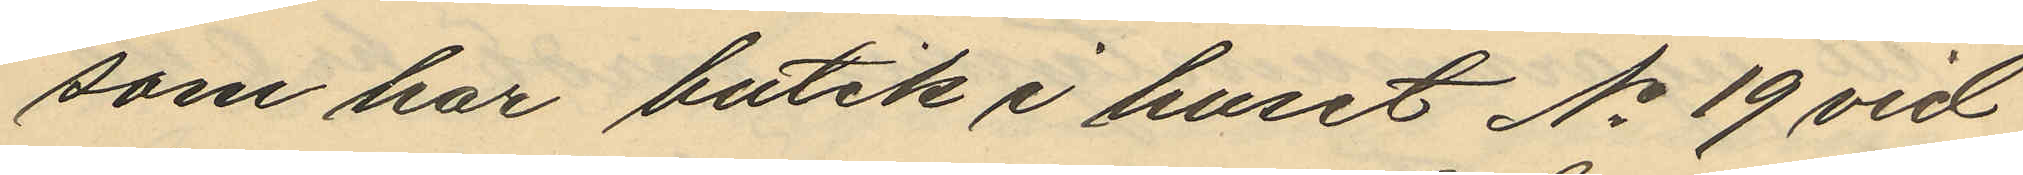som har butik i huset No 19 vid
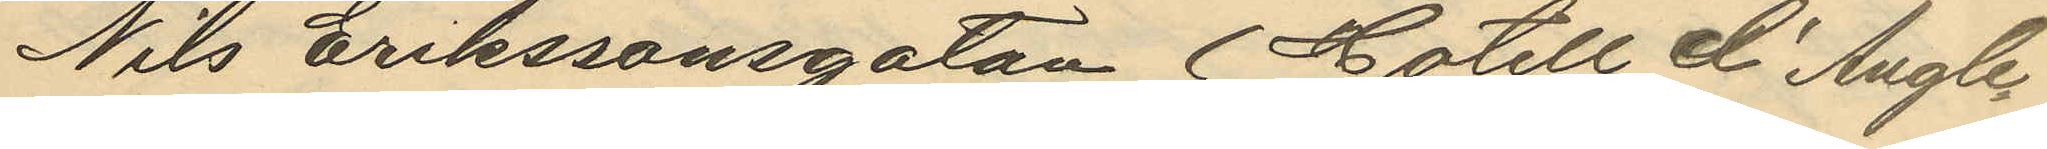Nils Erikssonsgatan (Hotell d'Angle¬
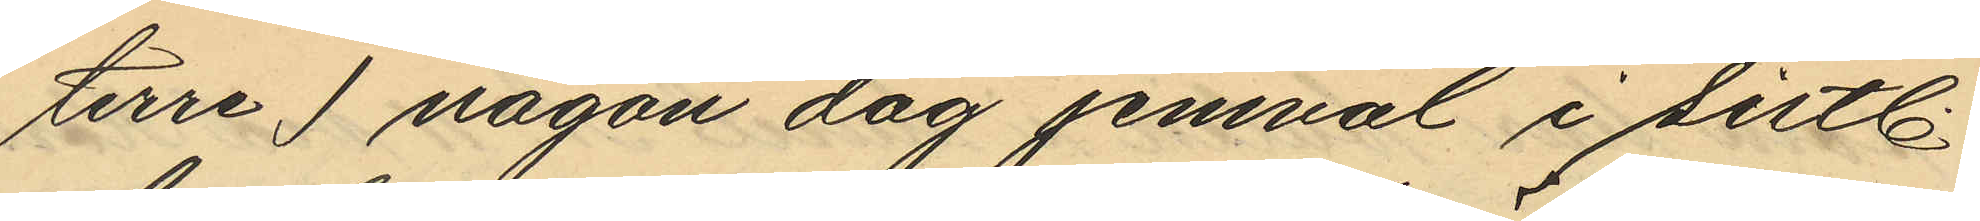terre i någon dag jemväl i sist.
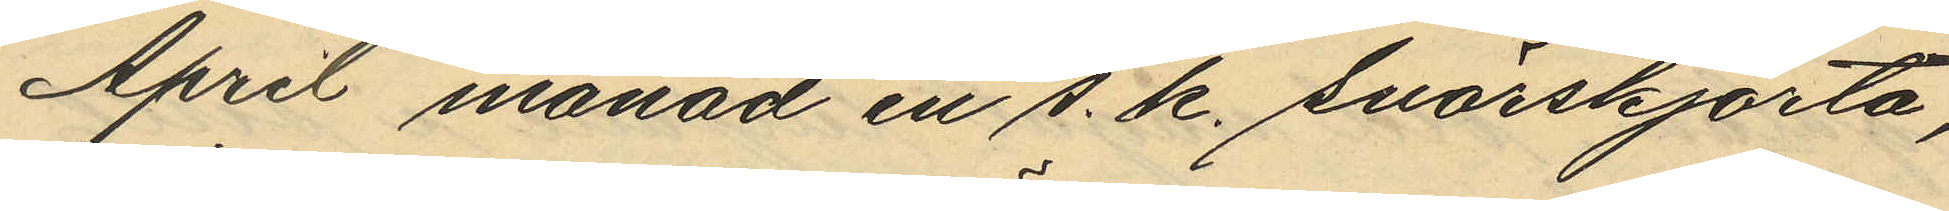April månad en s. k. snörskjorta,
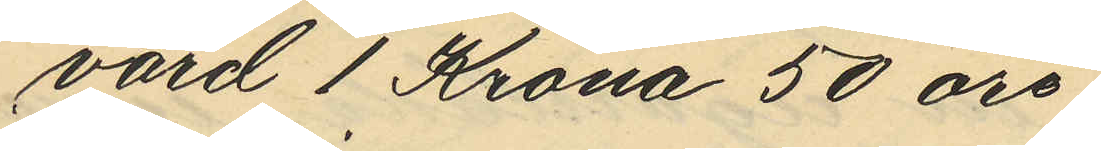värd 1 Krona 50 öre;
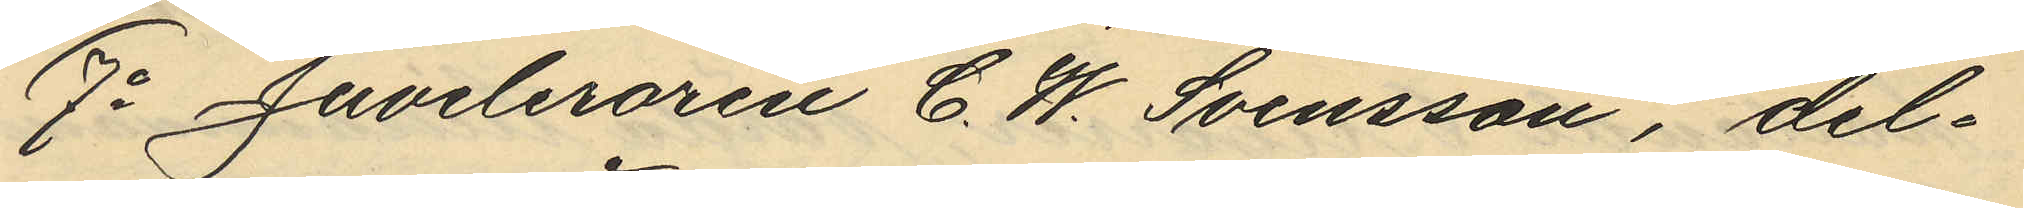7o Juveleraren C. W. Svensson, del¬
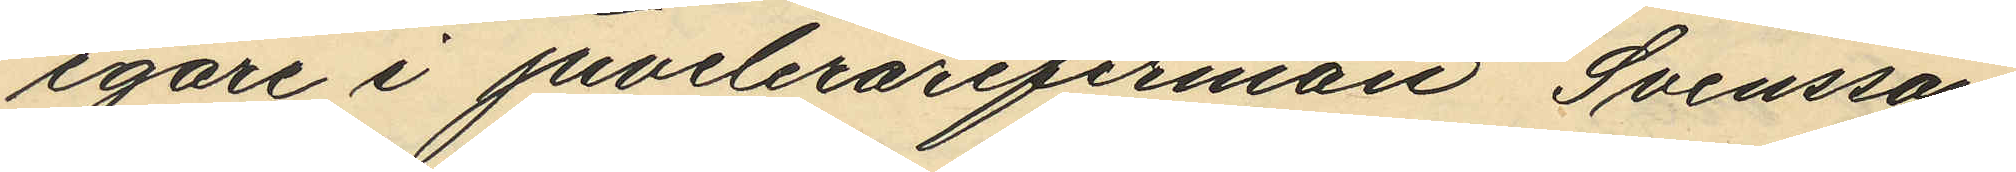egare i juvelerarefirman Svensson
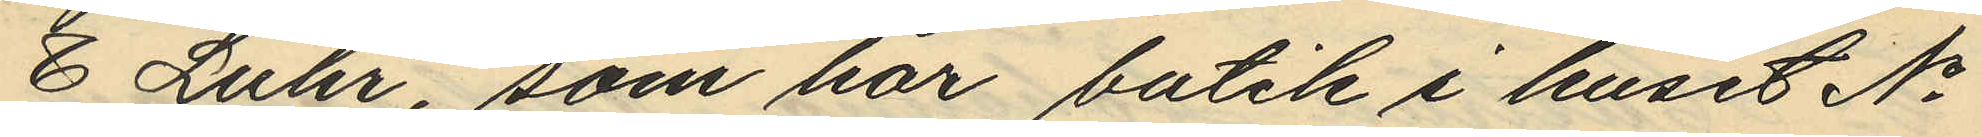& Luhr, som har butik i huset No
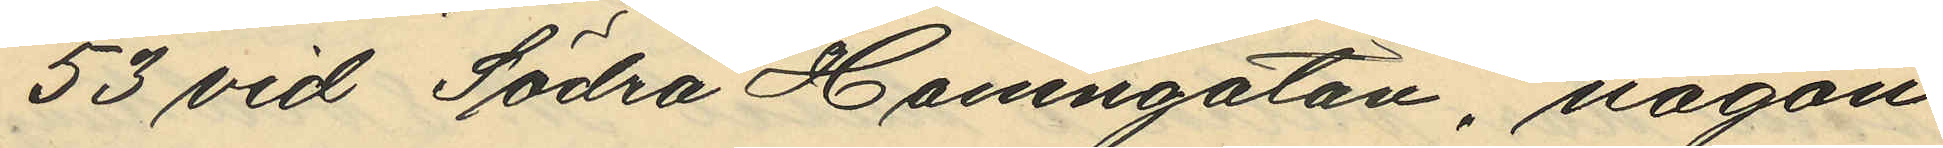53 vid Södra Hamngatan, någon
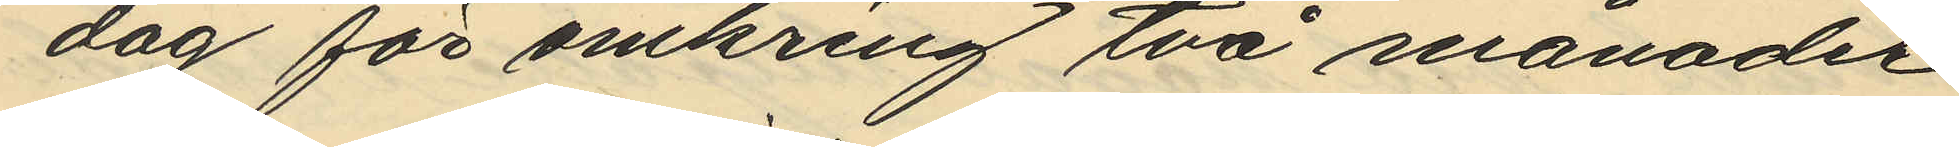dag för omkring två månader
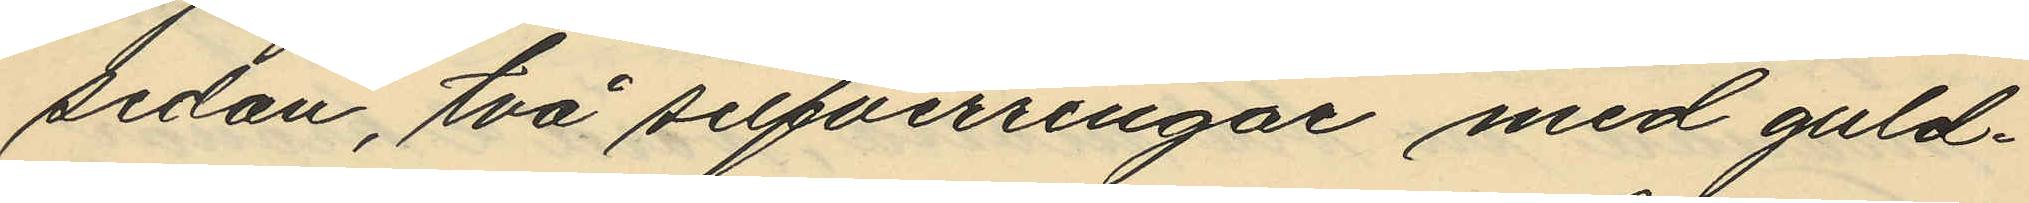sedan, två silfverringar med guld¬
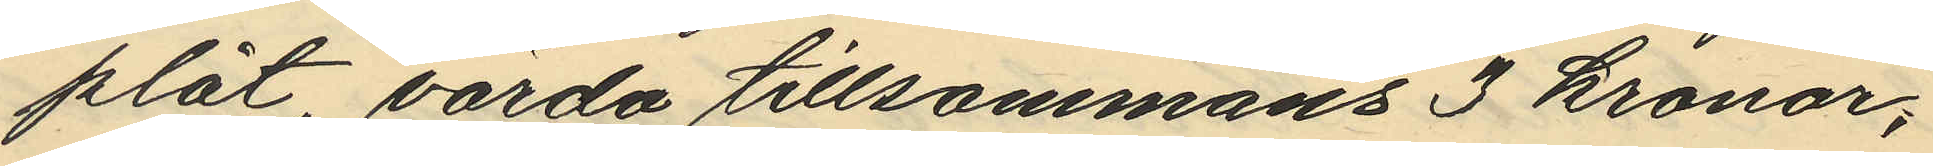plåt, värda tillsammans 3 kronor;
